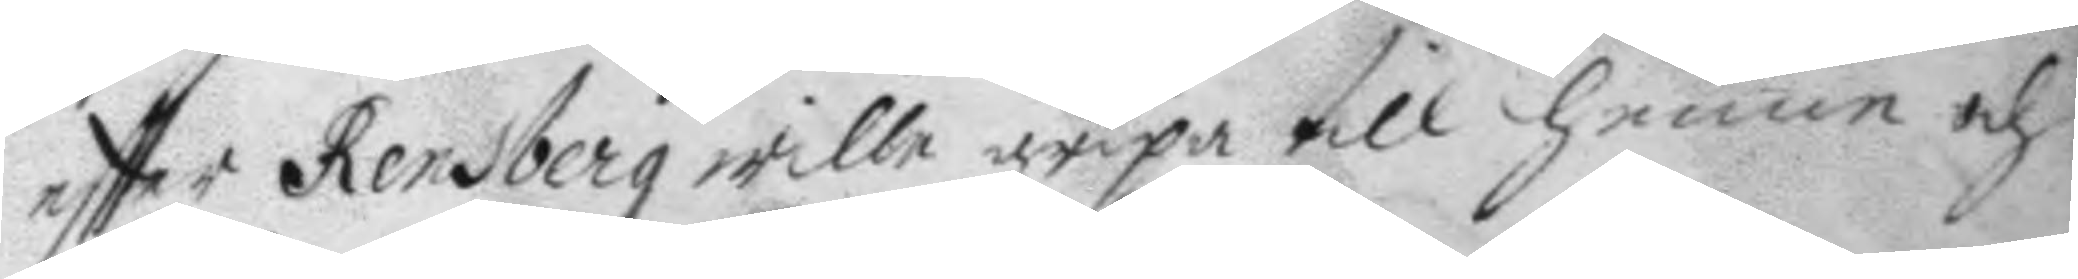eftter Rensberg wille gripa till henne och
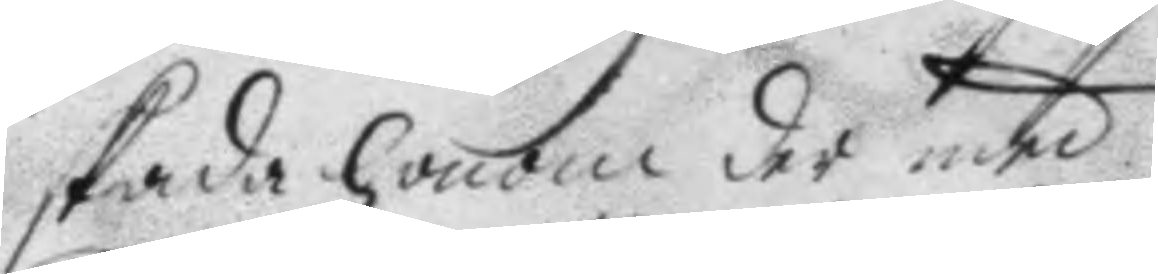skada honom de rmed.
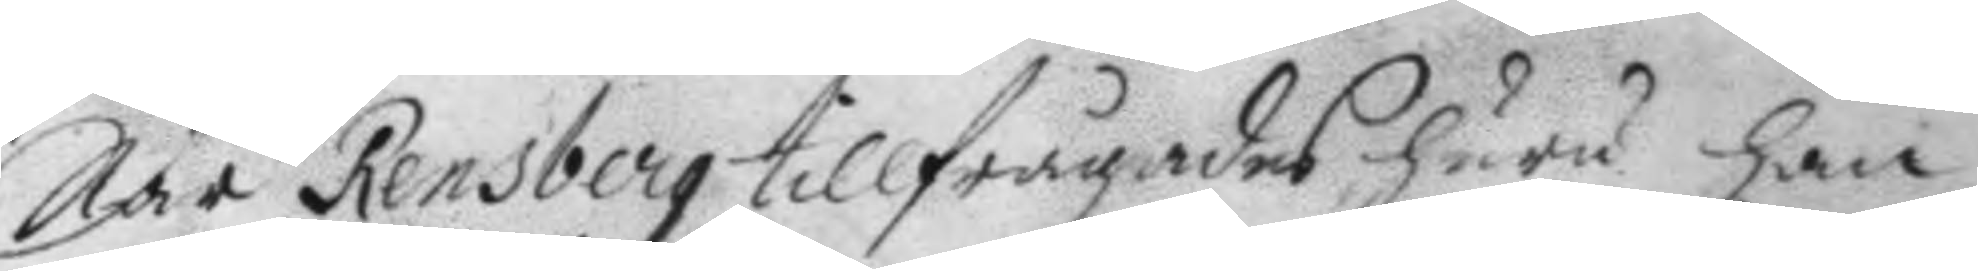När Rensberg tillfrågades huru han 
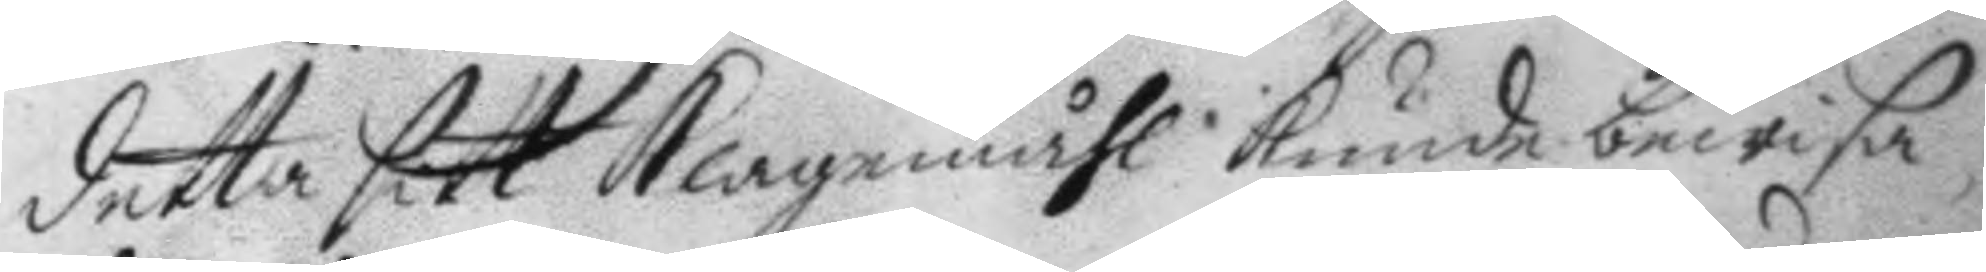detta sitt klagomåhl kunde bewisa;
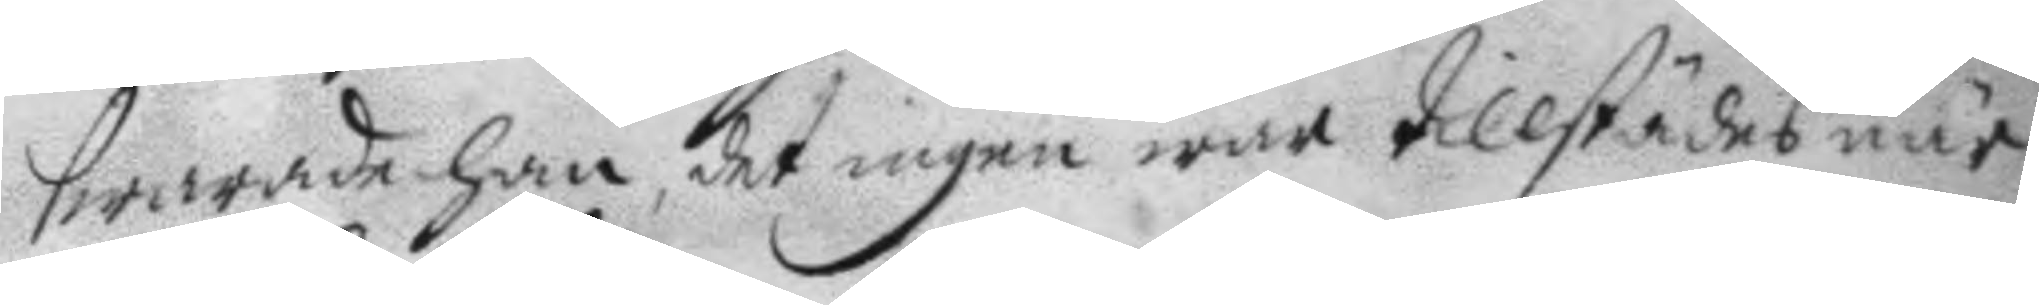swarade han, det ingen war tillstädes när
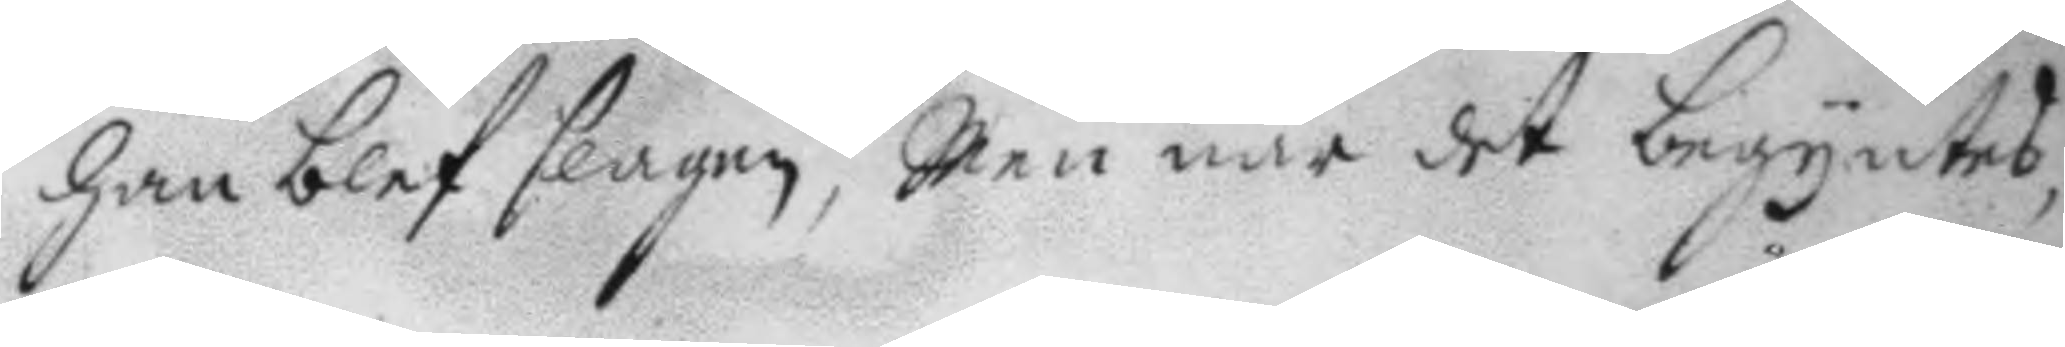han blef slagen, Men när det begyntes,
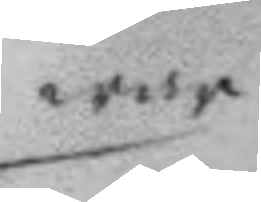war
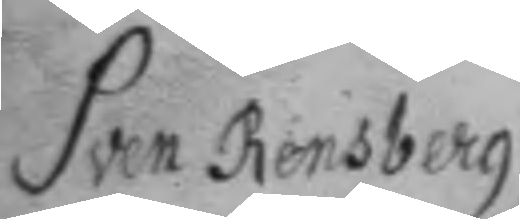Sven Rensberg
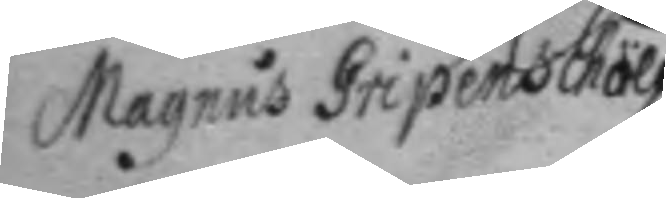Magnus Gripenschöld
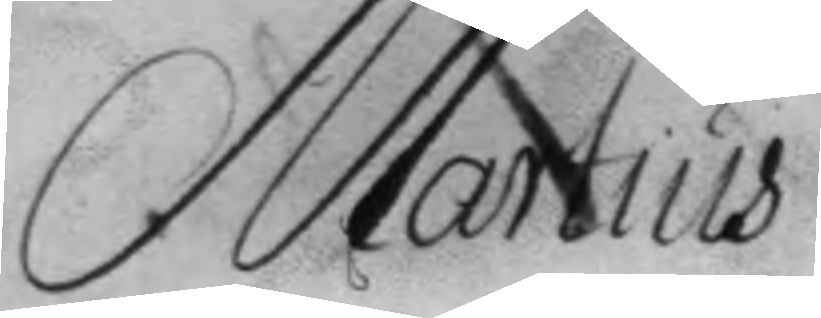Martius
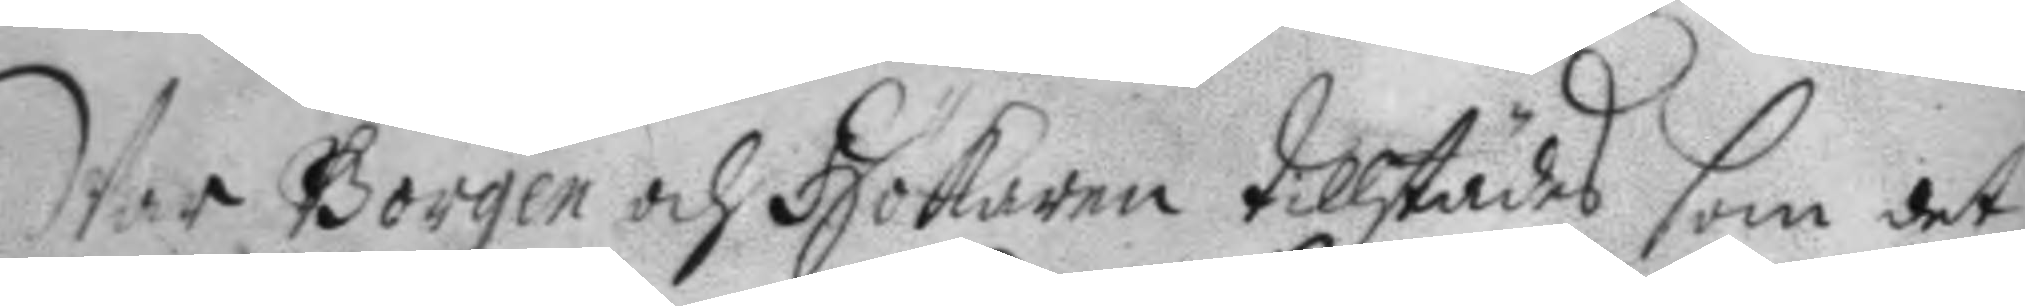War Borgen och Hökaren tillstädes som det
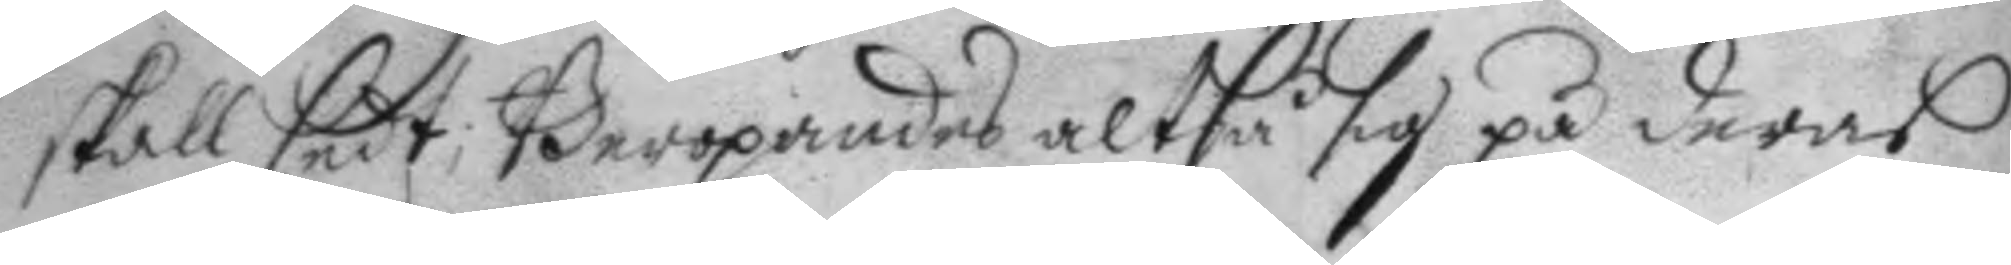skall sedt; Beropandes altså sig på deras
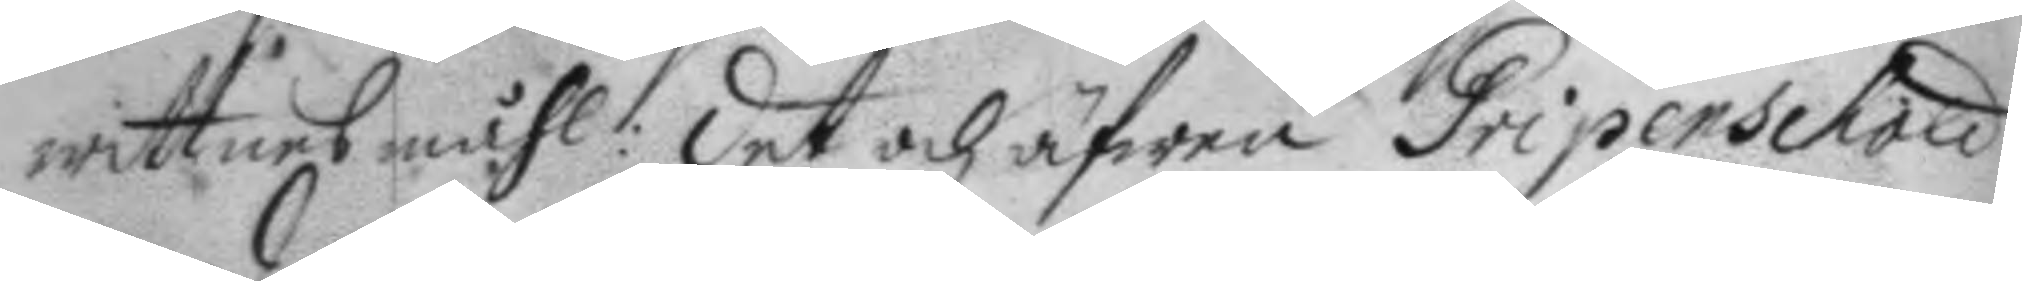wittnes måhl: det och äfwen Gripenschöld
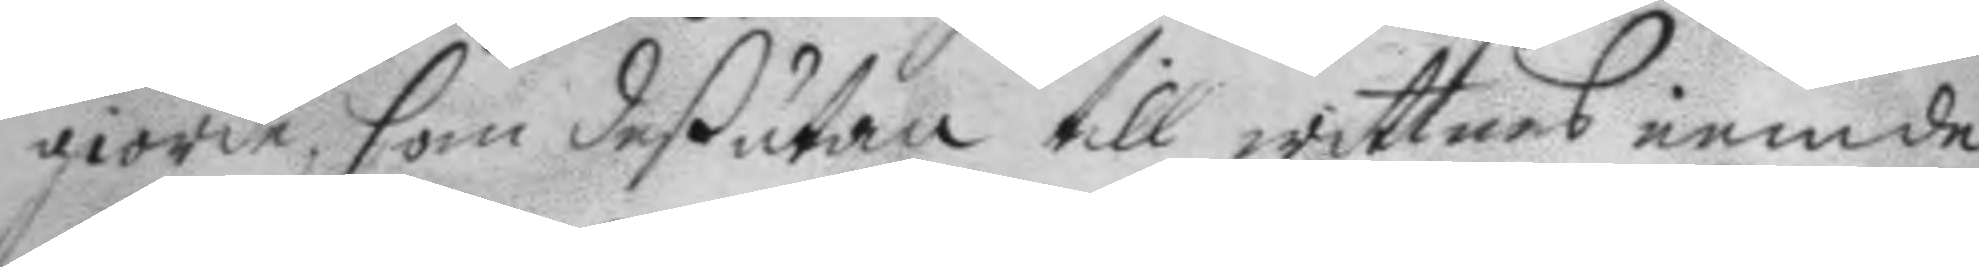giorde, som deßutan till wittnes iemde
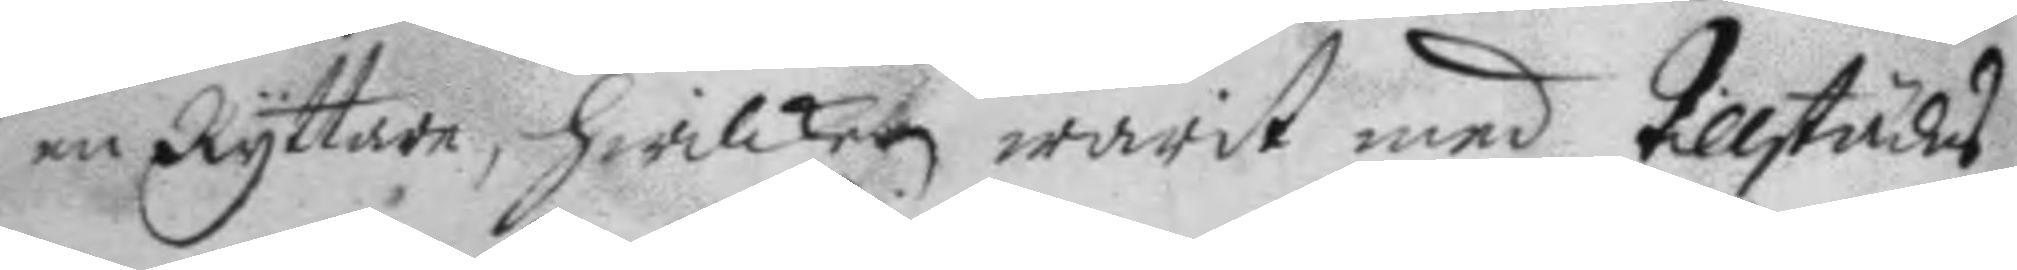en Ryttare, hwilken warit med tillstädes
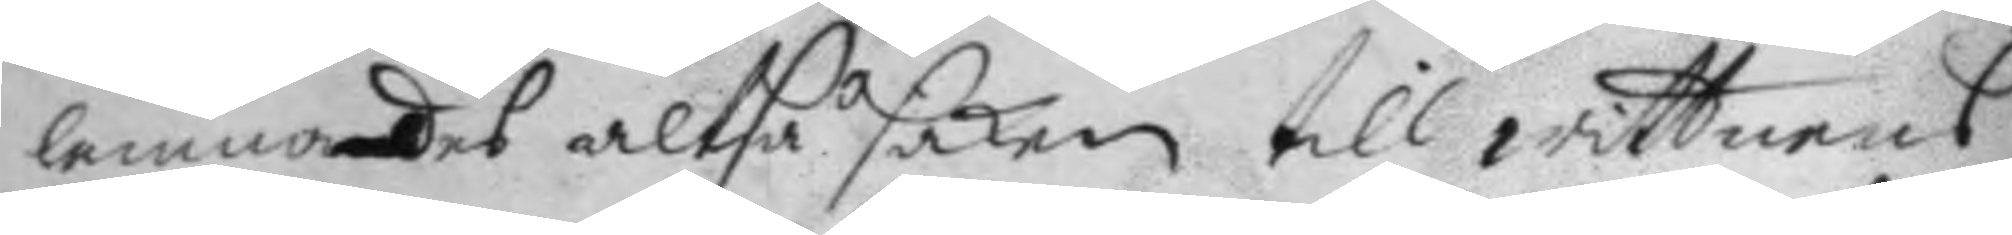lemnades altså saken till wittnens
